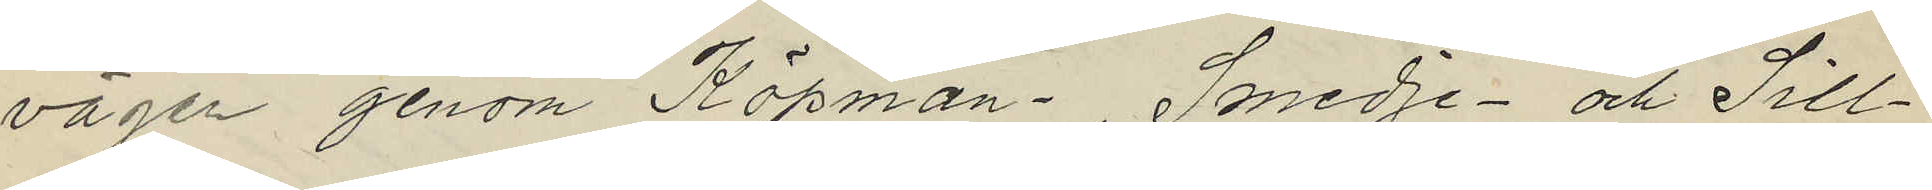vägen genom Köpman- , Smedje- och Sill¬
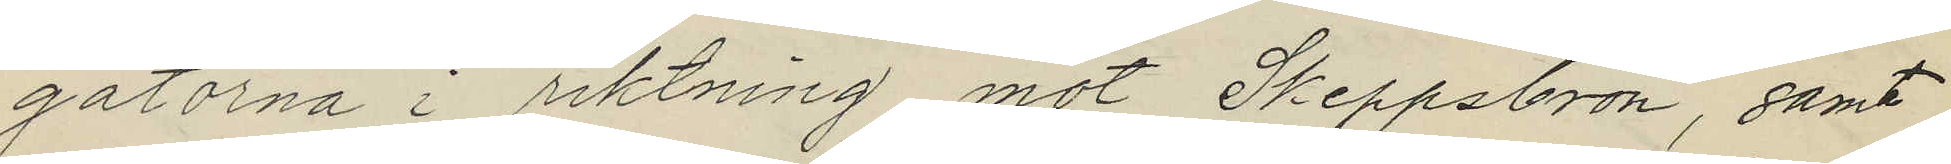gatorna i riktning mot Skeppsbron, samt
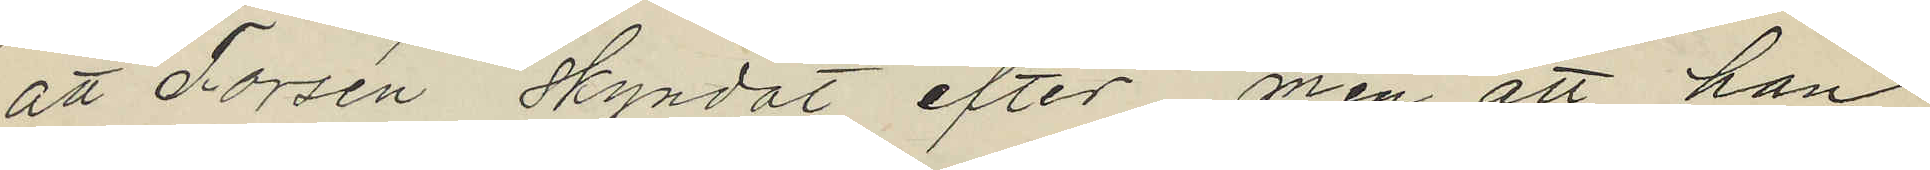att Forsén skyndat efter men att han
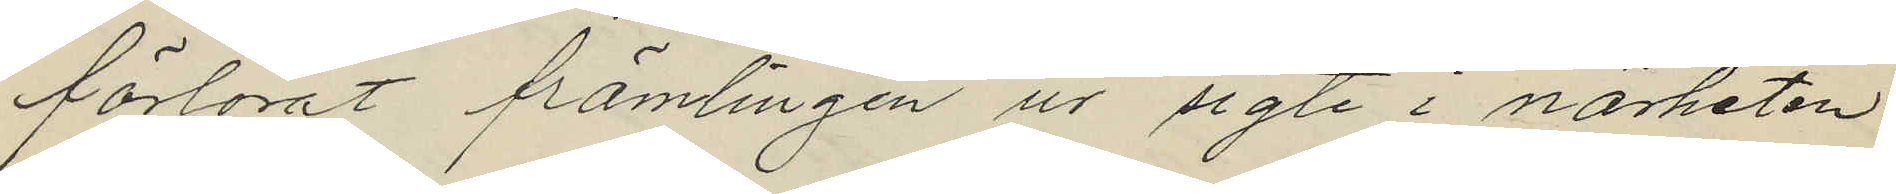förlorat främlingen ur sigte i närheten
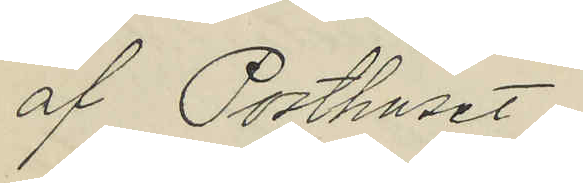af Posthuset.
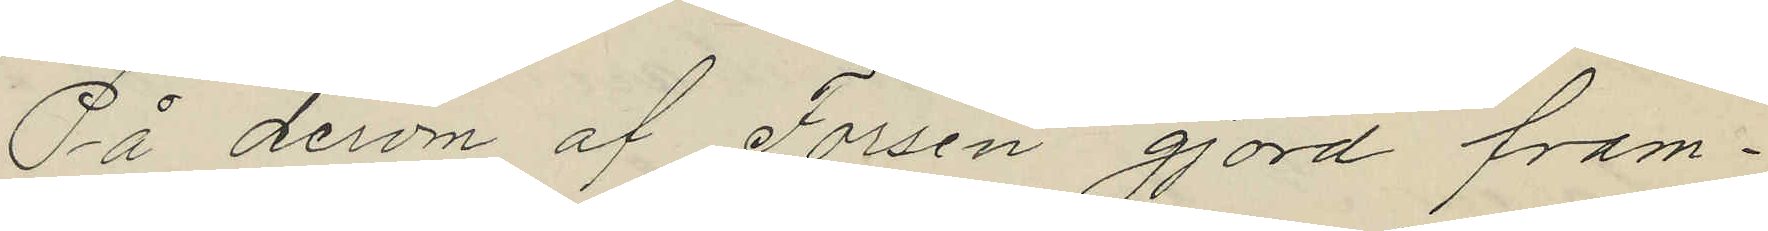På derom af Forsén gjord fram¬
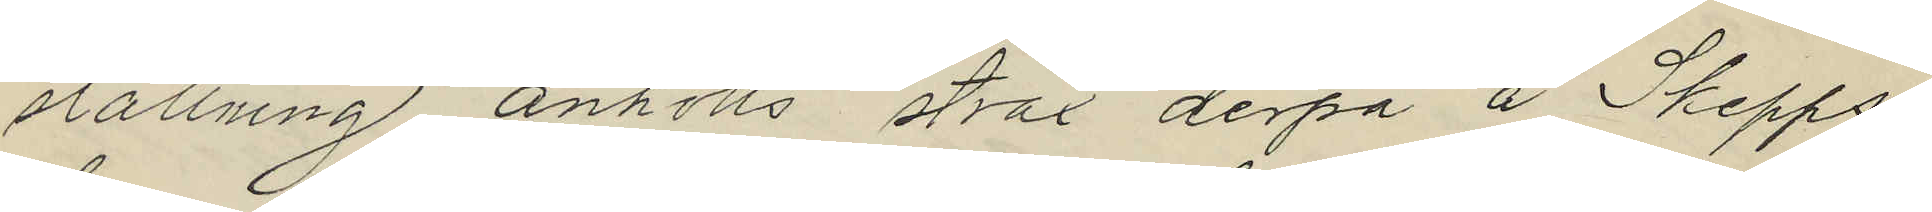ställning anhölls strax derpå å Skepps¬
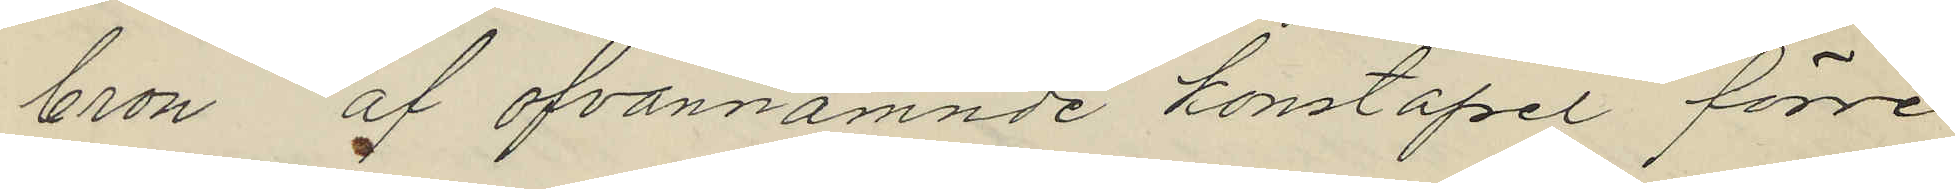bron af ofvannämnde konstapel förre
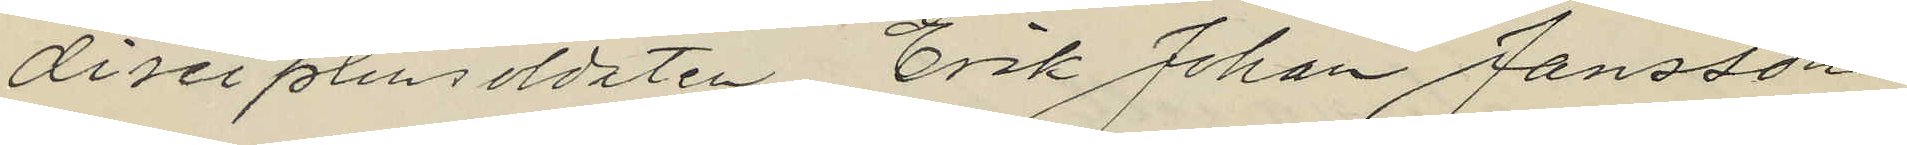diseiplinsoldaten Erik Johan Jansson
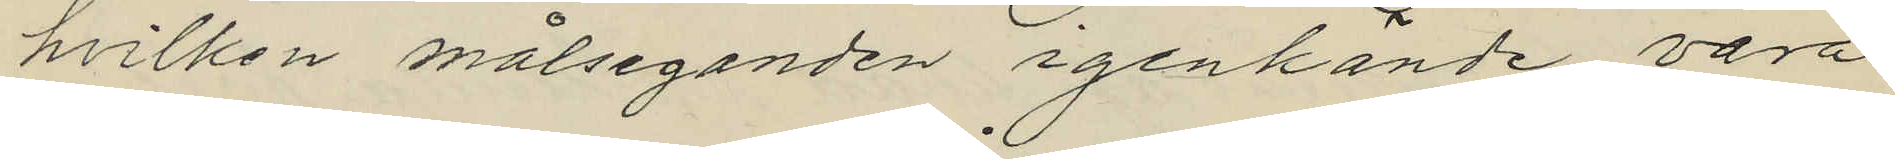hvilken målseganden igenkände vara
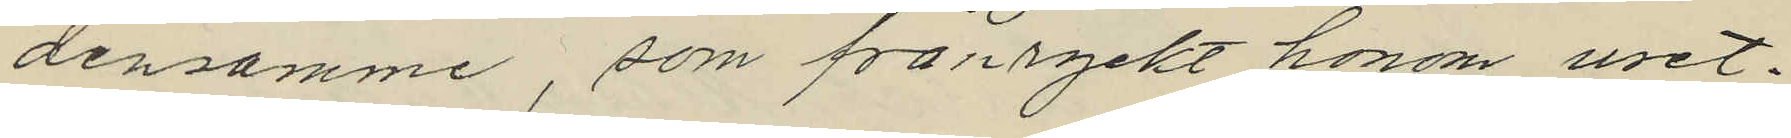densamme, som frånryckt honom uret.
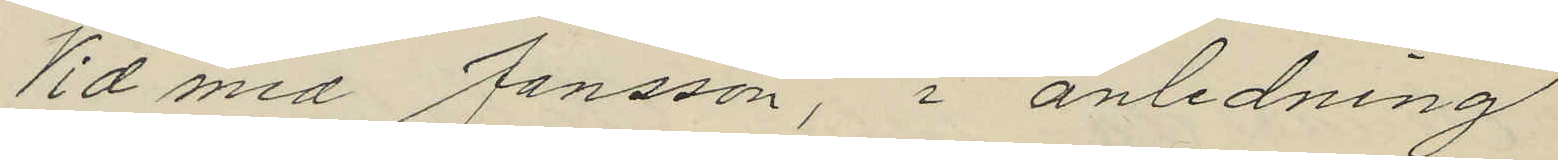Vid med Jansson, i anledning
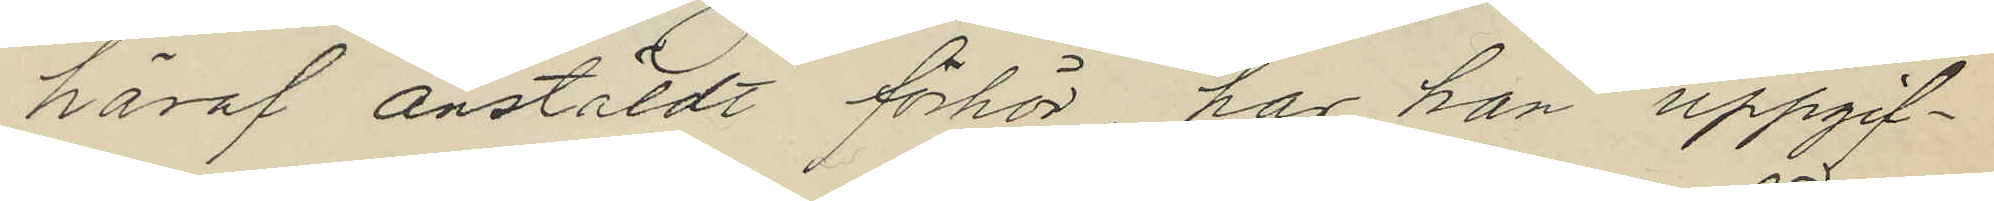häraf anstäldt förhör har han uppgif¬
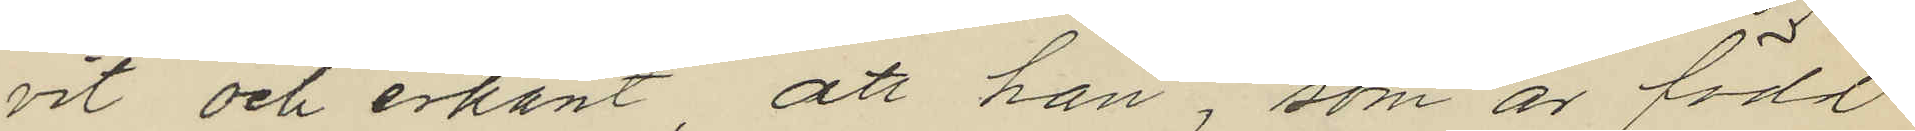vit och erkänt, att han, som är född
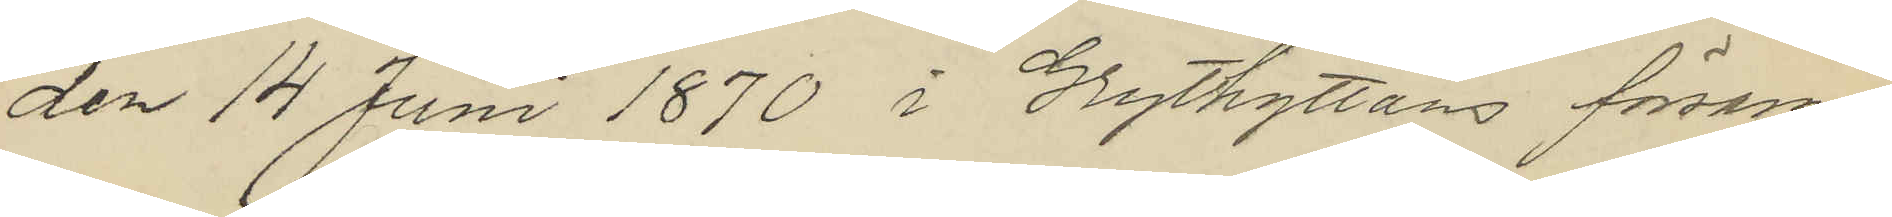den 14 Juni 1870 i Grythyttans försam¬
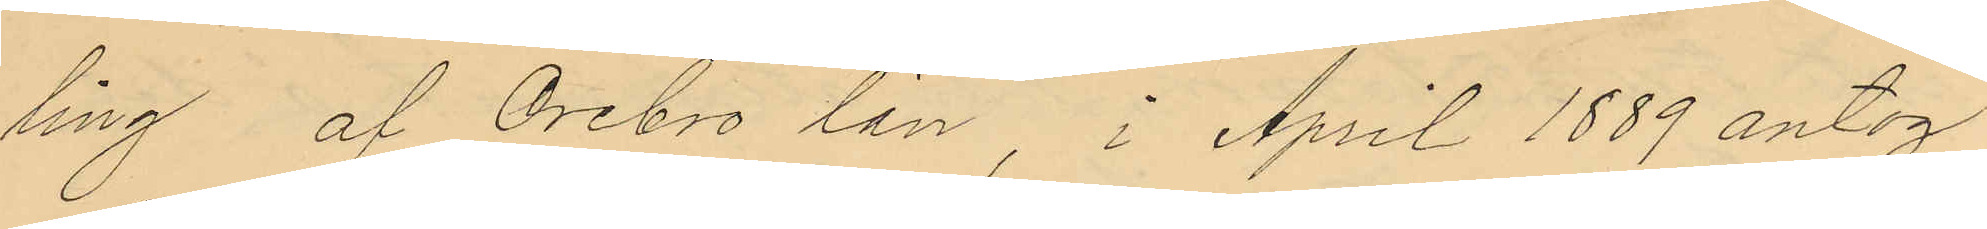ling af Örebro län i April 1889 antog
